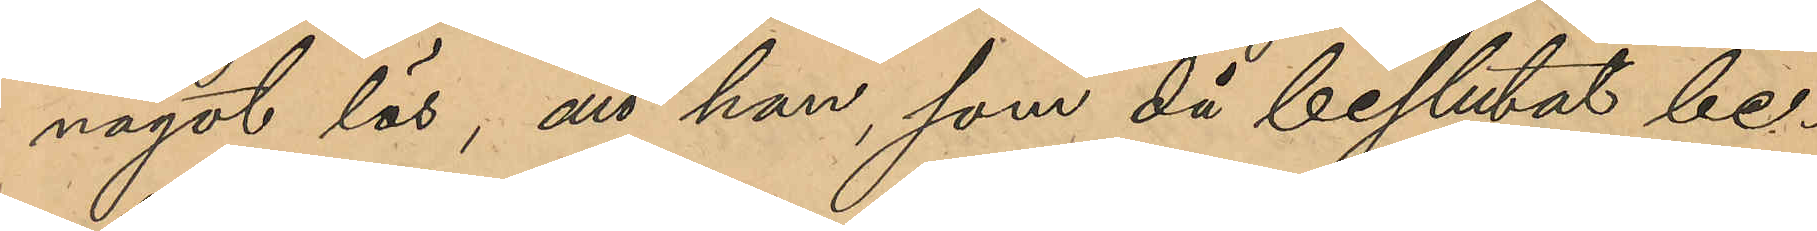något lös, att han, som då beslutat be¬
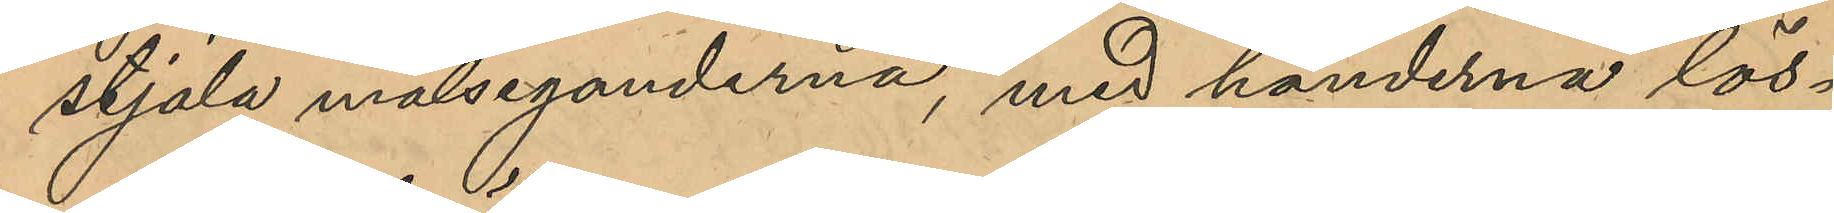stjäla målseganderna, med händerna lös¬
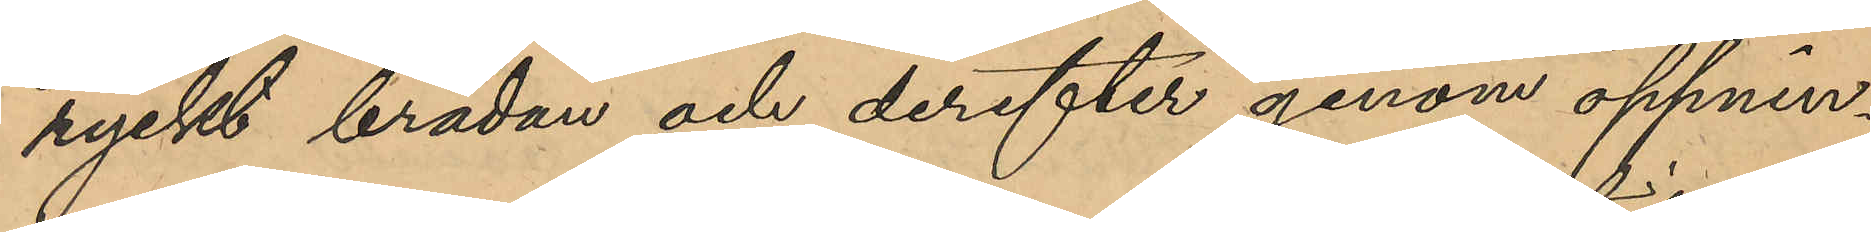ryckt brädan och derefter genom öppnin¬
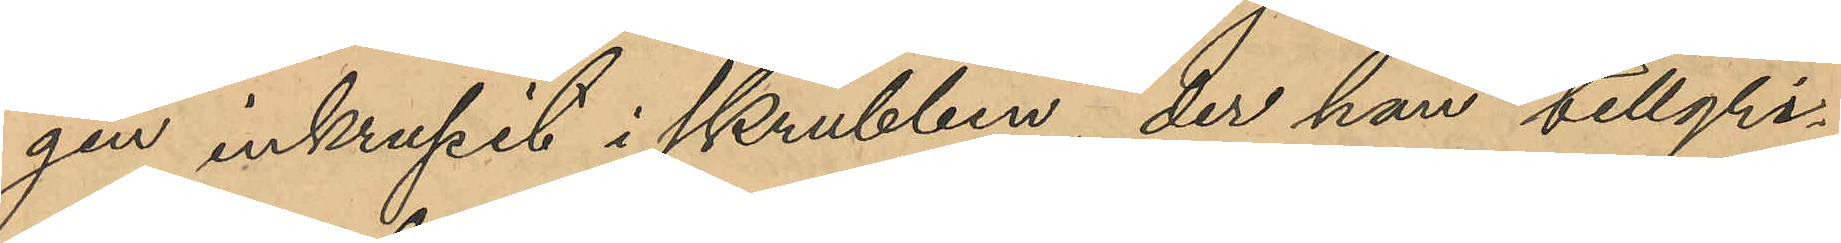gen inkrupit i skrubben, der han tillgri¬
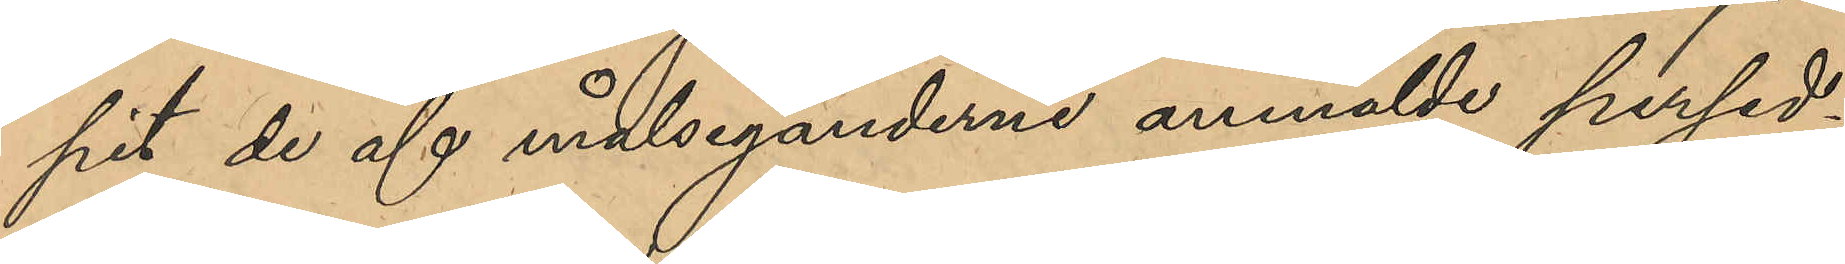pit de af målseganderne anmälde persed¬
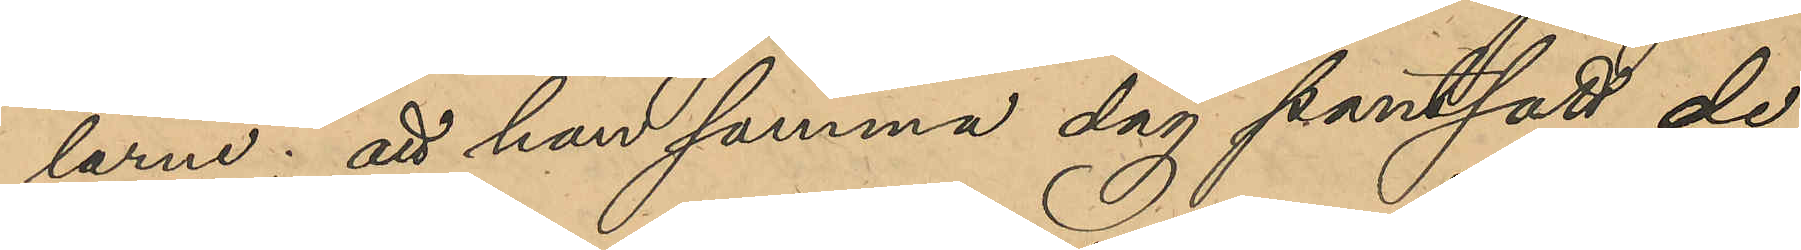larne; att han samma dag pantsatt de
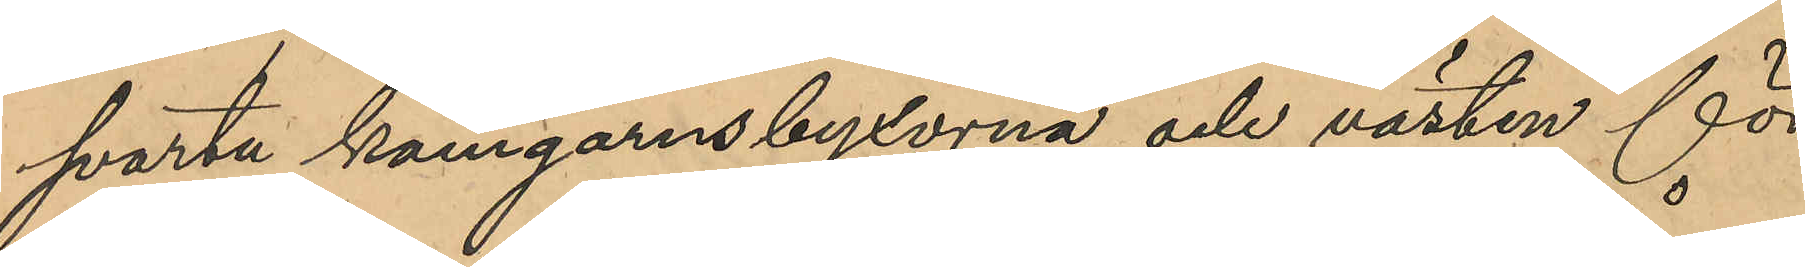svarta kamgarnsbyxorna och västen för
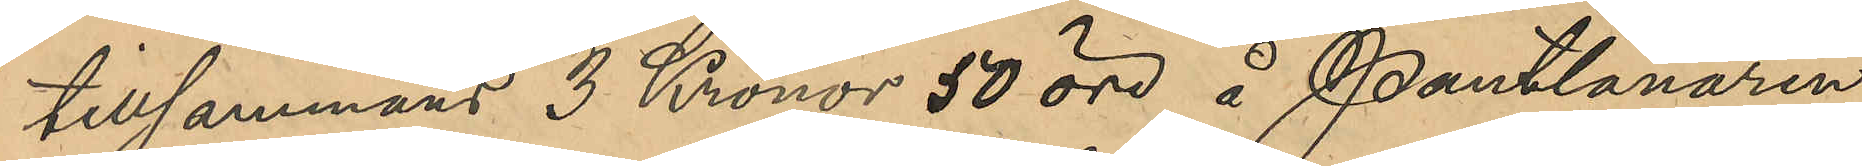tillsammans 3 Kronor 50 öre å Pantlånaren
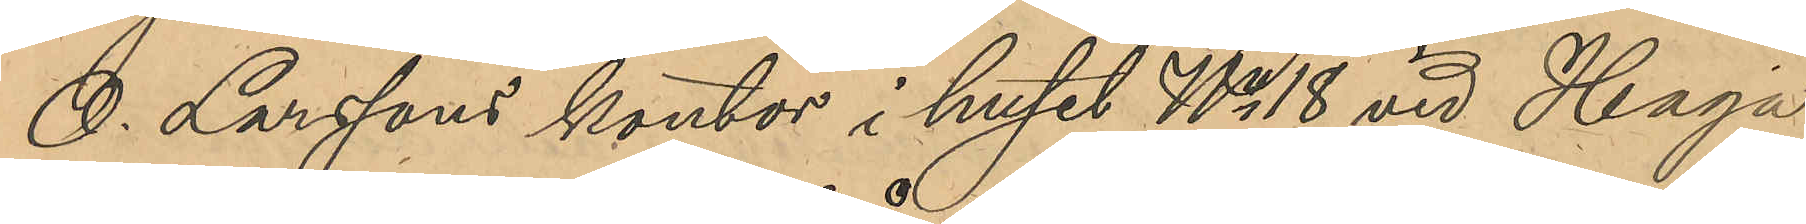O. Larssons kontor i huset No 18 vid Haga
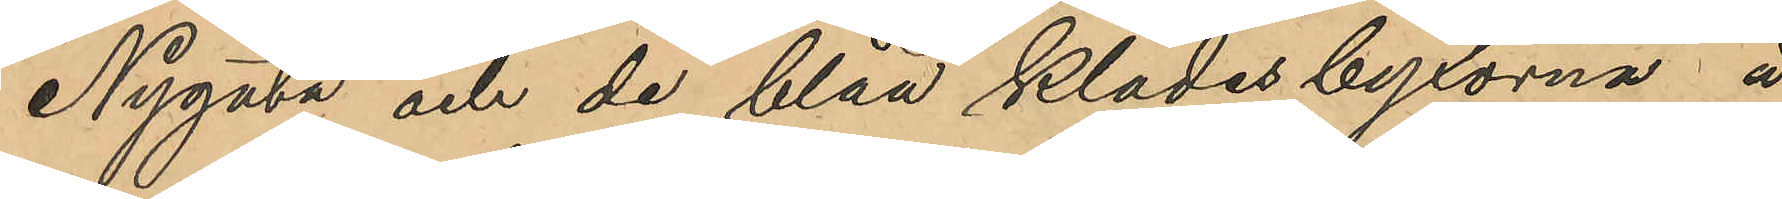Nygata och de blåa klädesbyxorna å
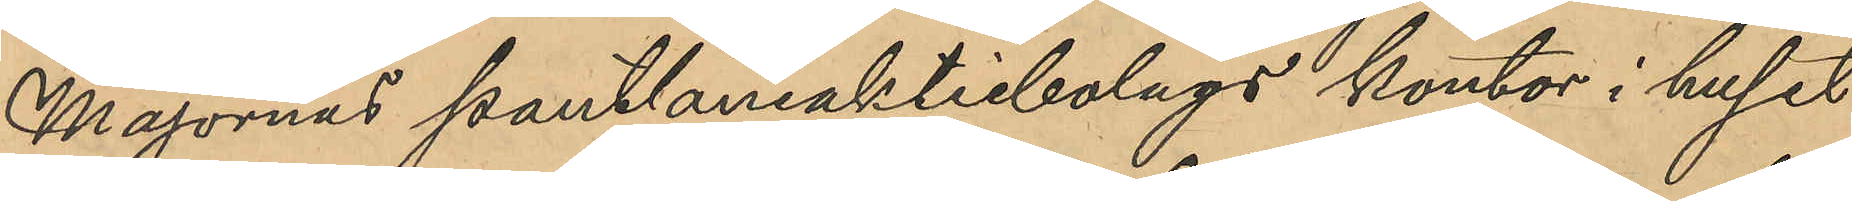Majornas pantlåneaktiebolags kontor i huset
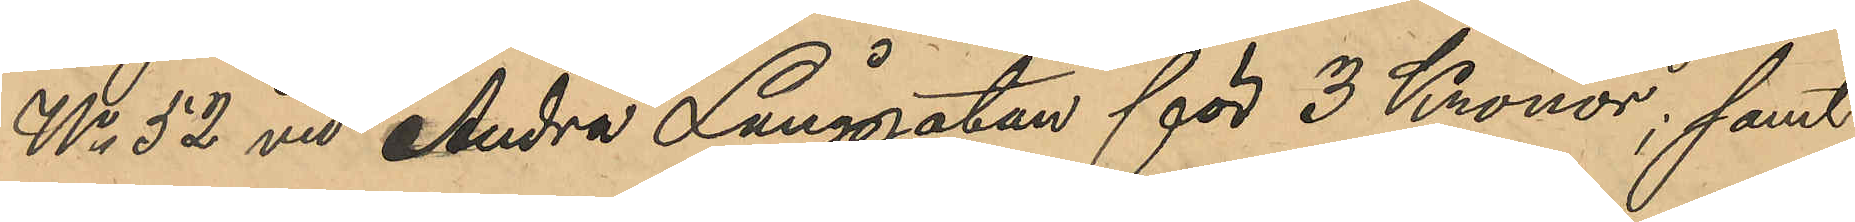No 52 vid Andra Långgatan för 3 Kronor; samt
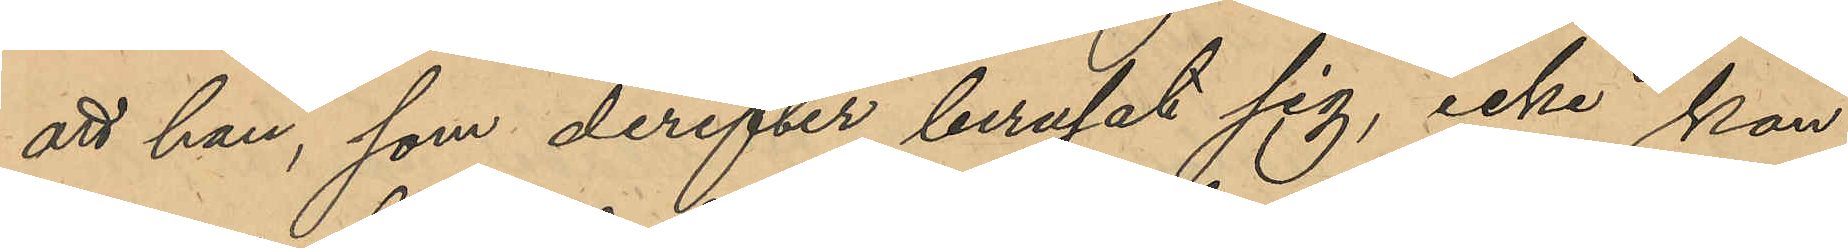att han, som derefter berusat sig, icke kan
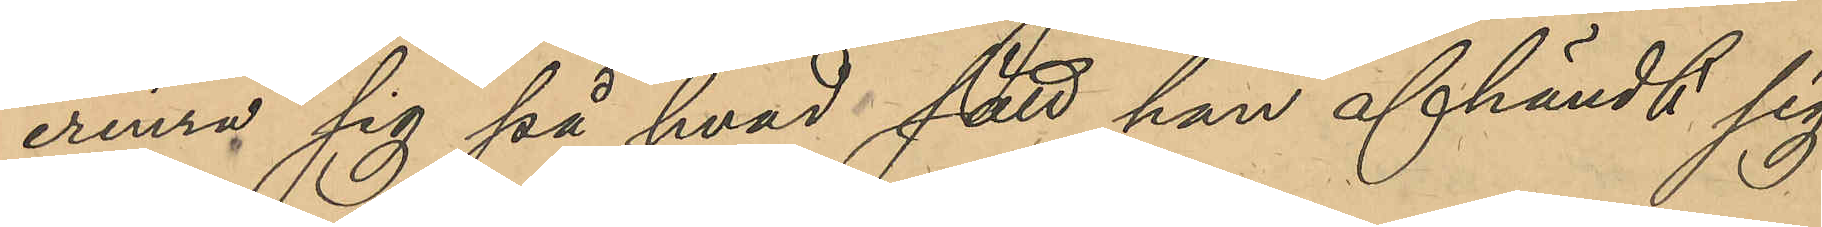erinra sig på hvad sätt han afhändt sig
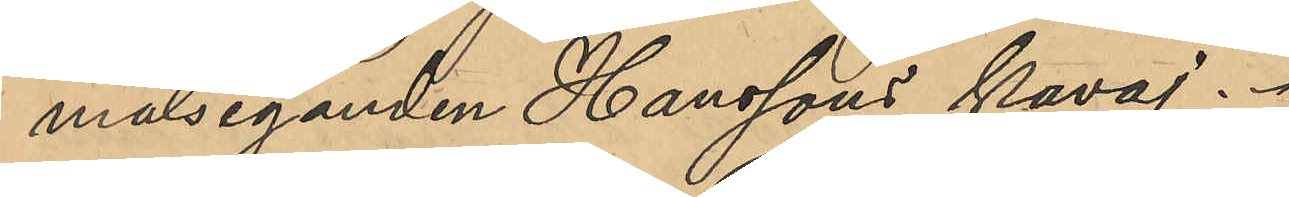målseganden Hanssons kavaj.
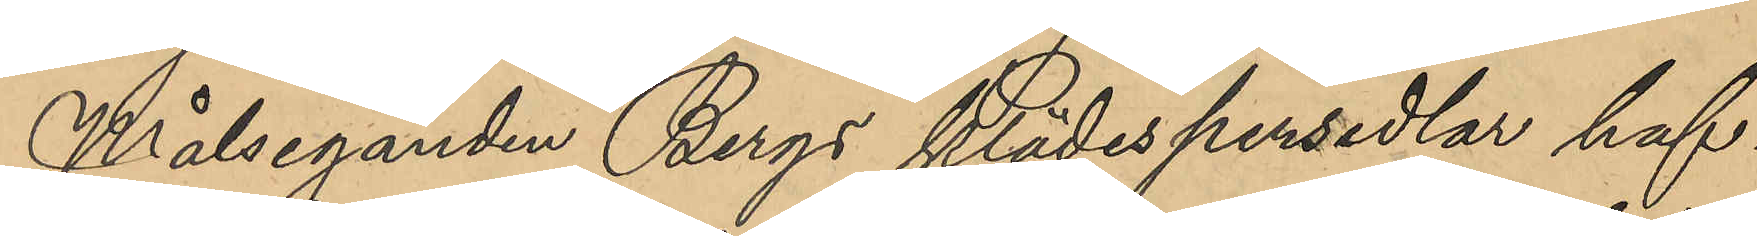Målseganden Bergs klädespersedlar haf¬
